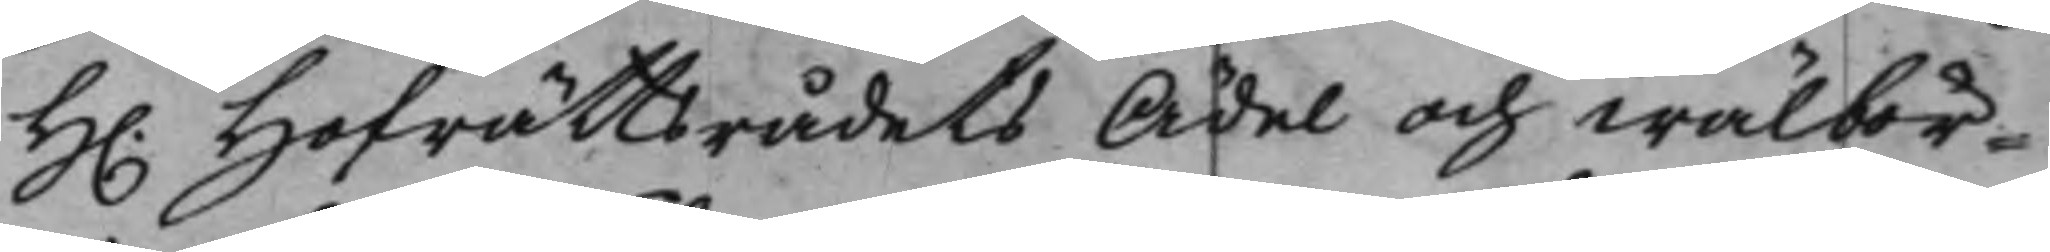H. Hofrättsrådets Ädel och wälbör¬
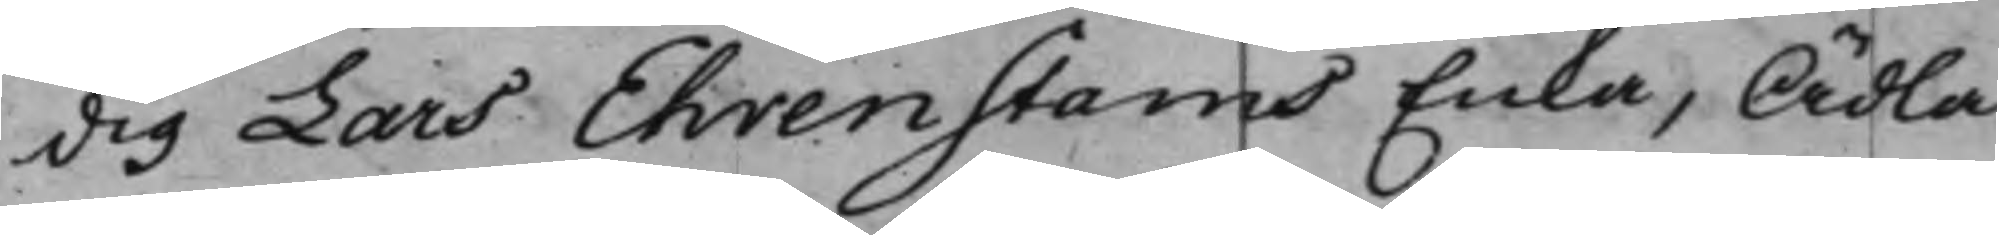dig Lars Ehrenstams Enka, Ädla
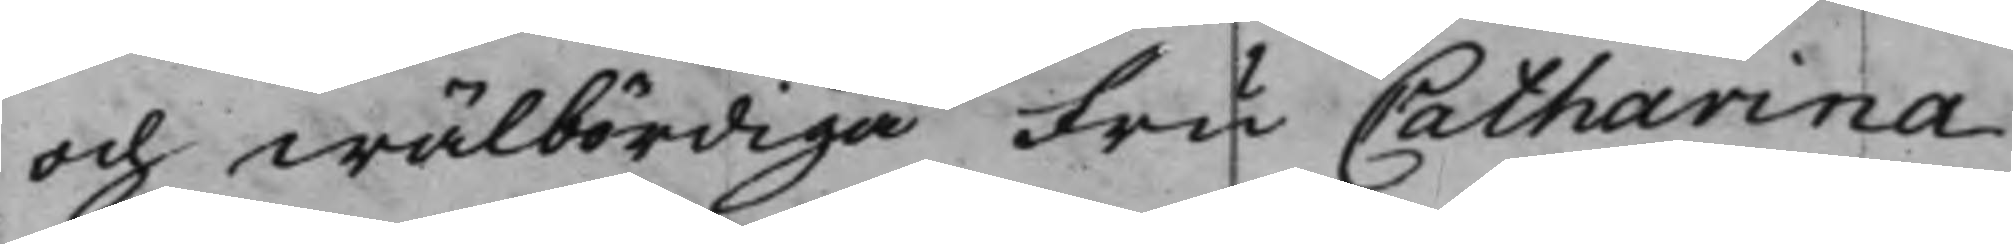och wälbördiga Fru Catharina
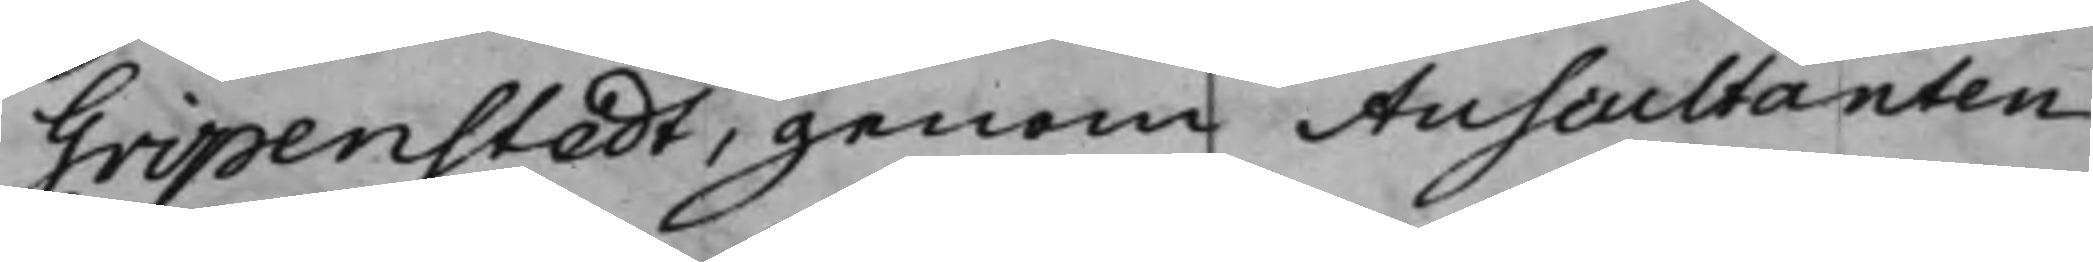Gripenstedt, genom Auscultanten
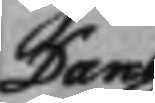Dan
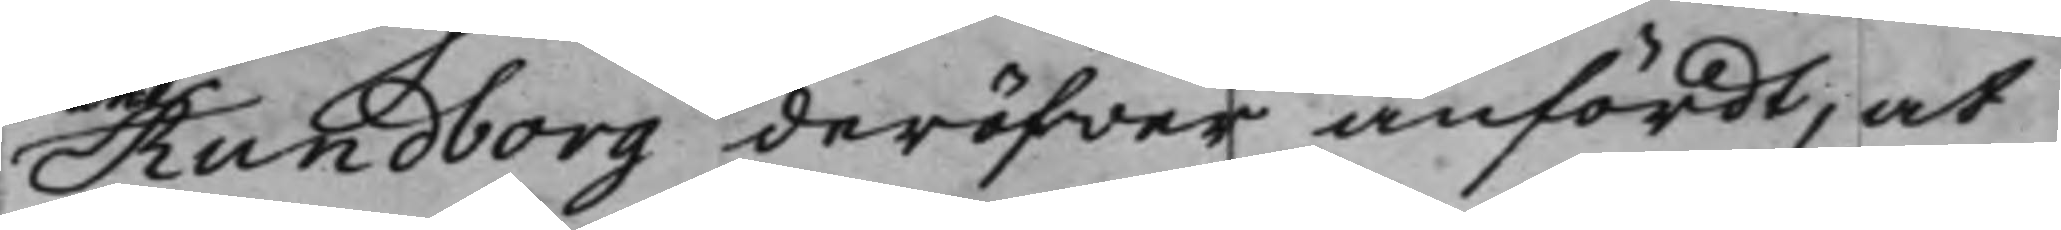Rundborg deröfwer anfördt, at
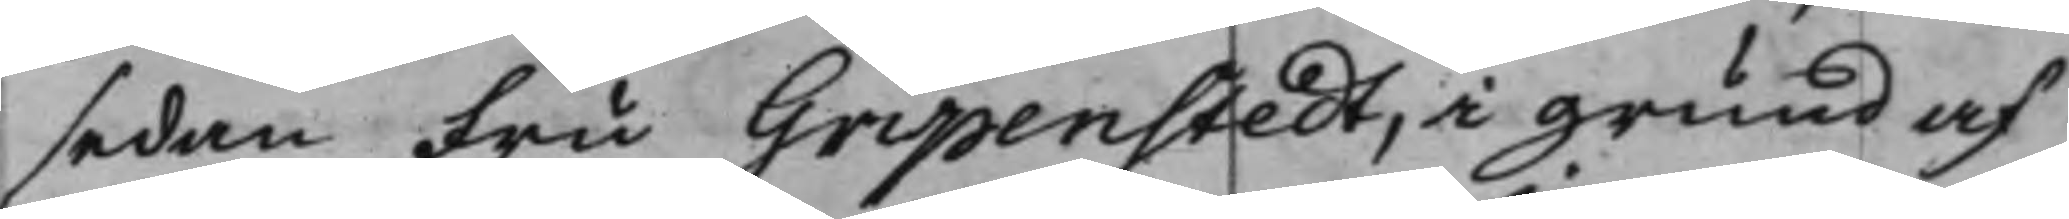sedan Fru Gripenstedt, i grund af
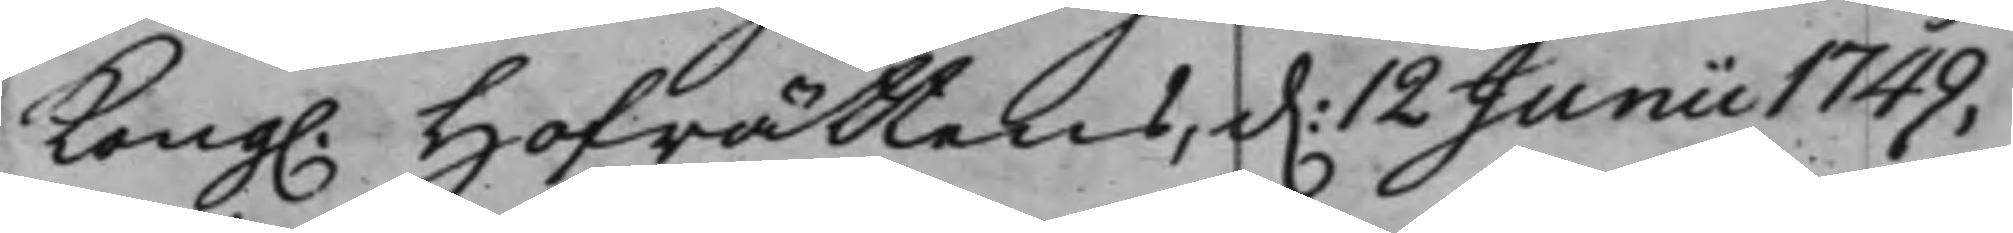Kong. Hofrättens, d. 12 Junii 1749,
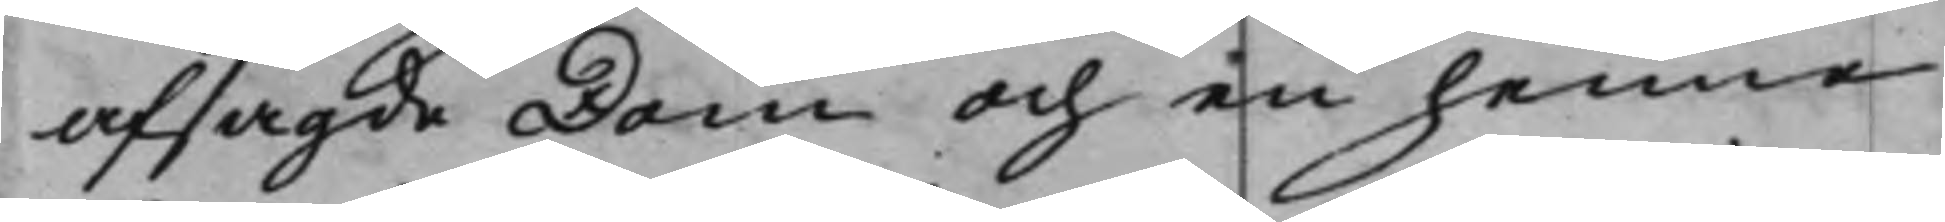afsagde Dom och en henne
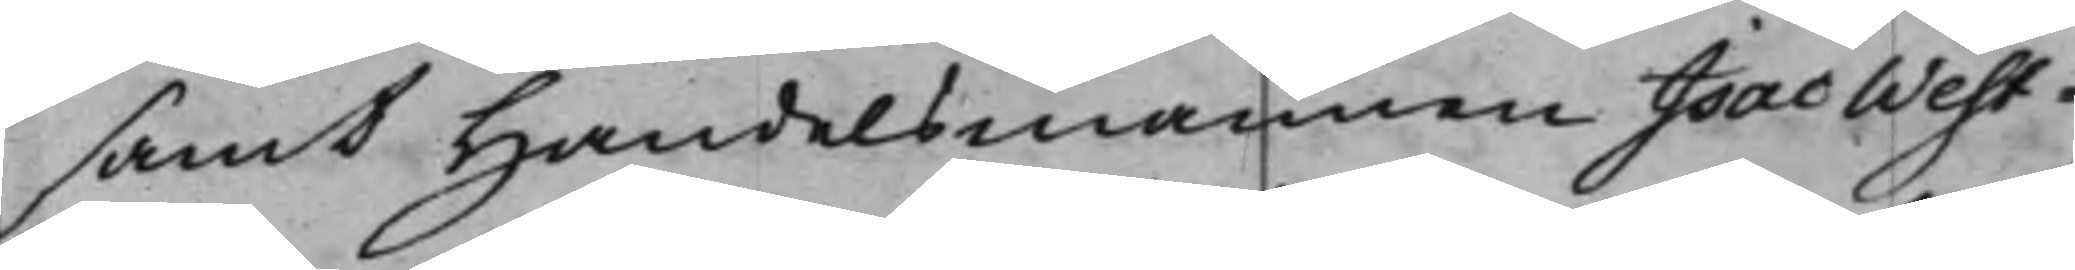samt Handelsmannen Isac West¬
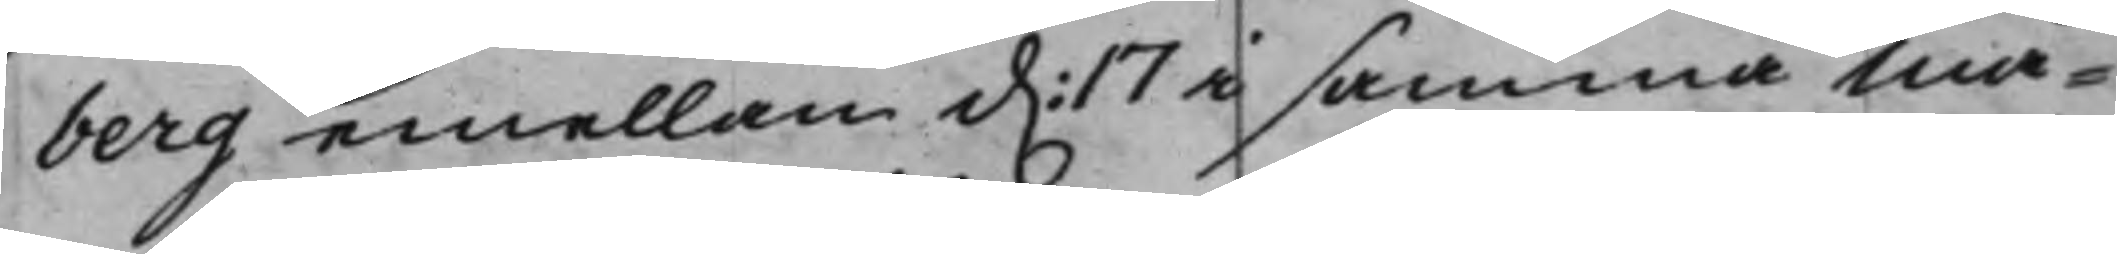berg emellan d. 17 i samma Må¬
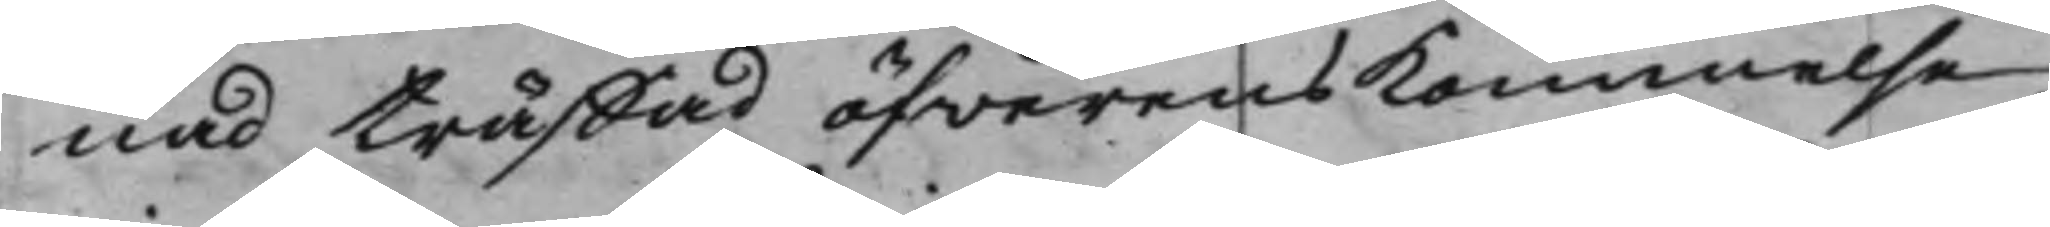nad träffad öfwerenskomnelse
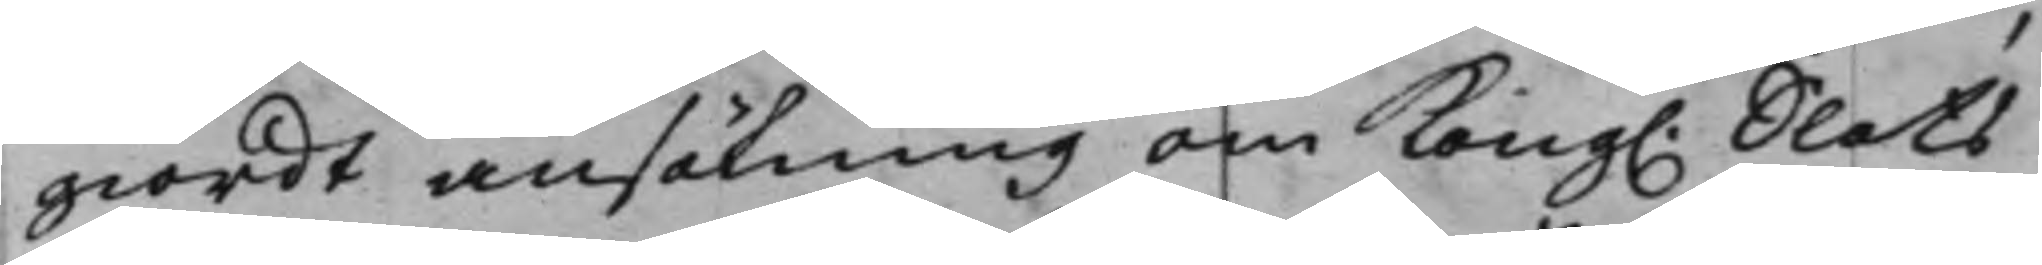giordt ansökning om Kong. Slots¬
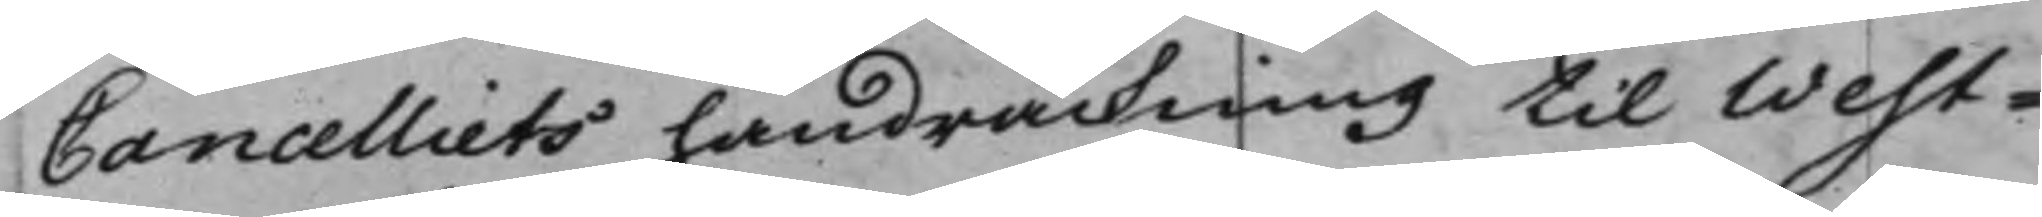Cancelliets handräckning til West¬
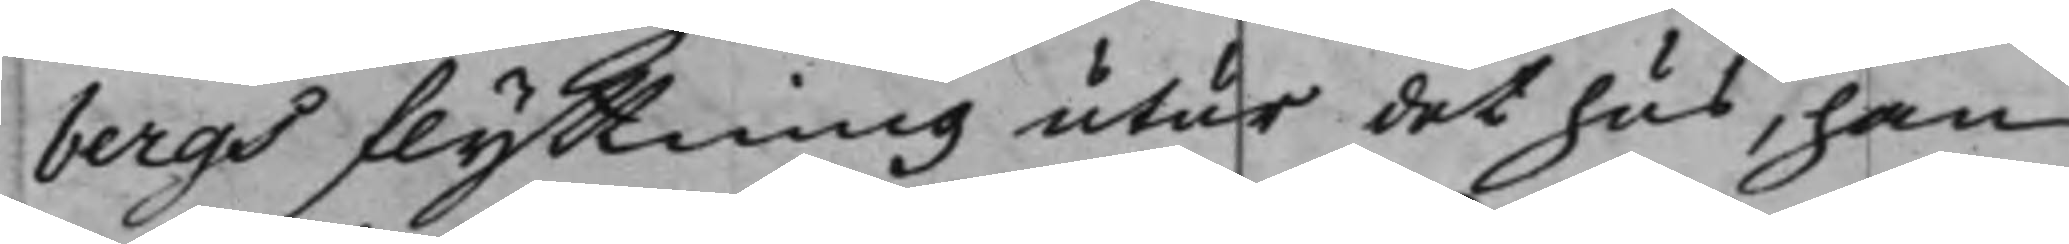bergs flyttning utur det hus, han
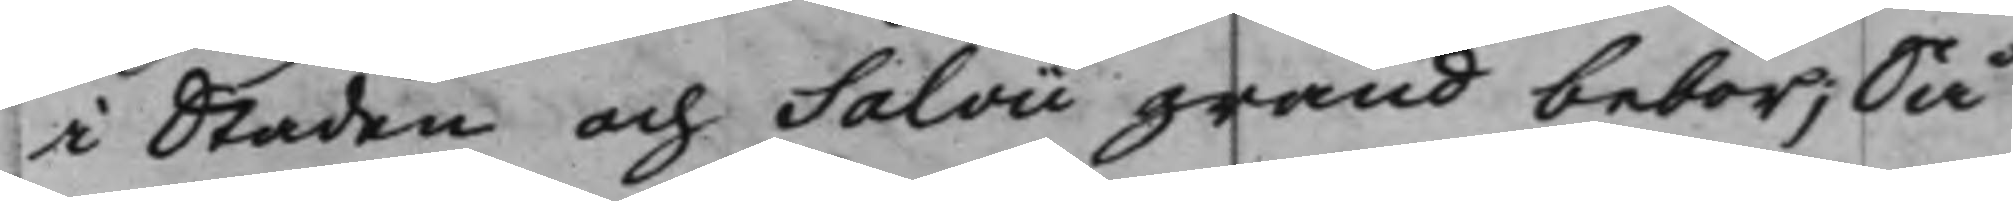i Staden och Salvii gränd bebor; Så
